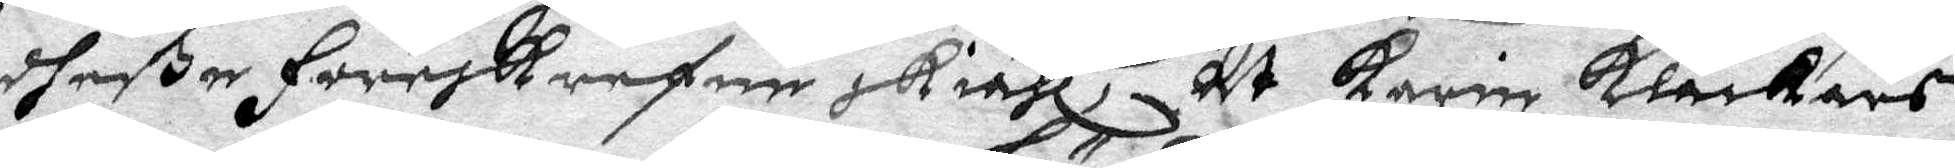dheße föreskrefne skiähl, At Karin klåckars
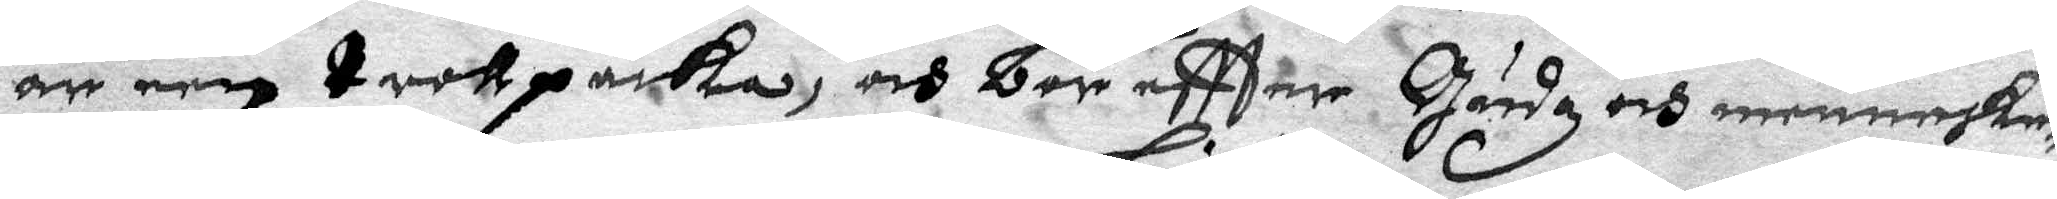är een trollpacka, och bör eftter Gushz och menneske¬
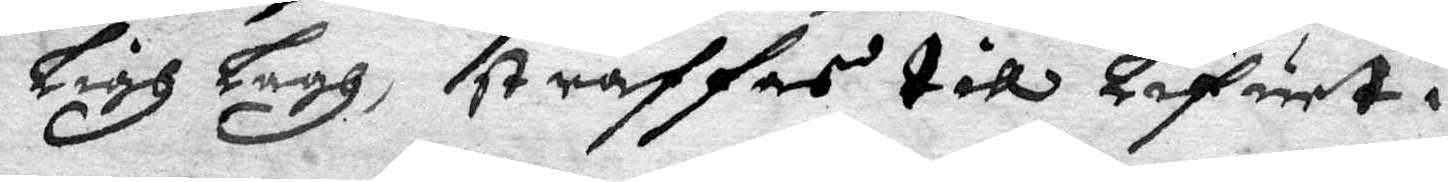Ligh lagh, straffas till Lifuet.
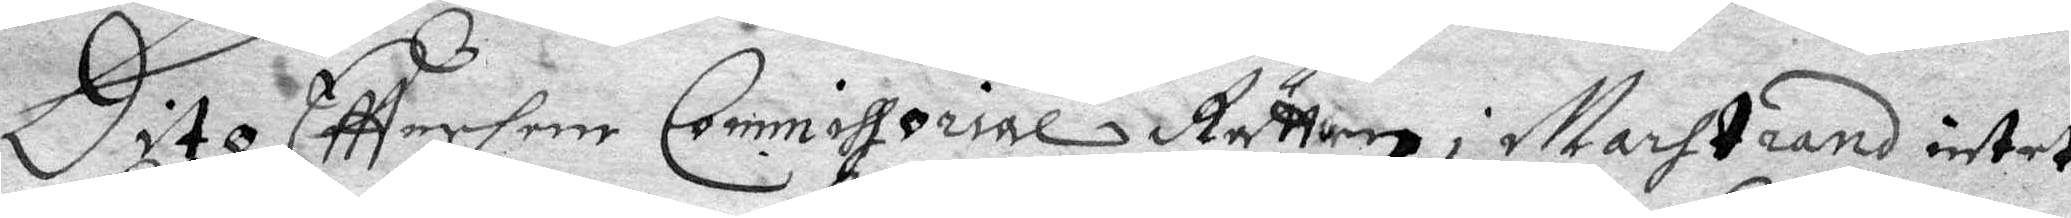Dito Efttersom Commissorial Rätten i Marstrand intet
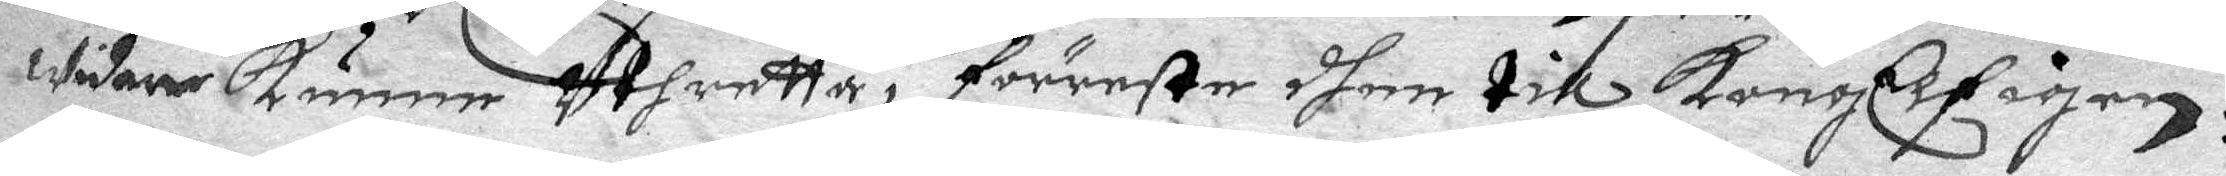widare kunne Uthretta, förreste dhom till KongElf igen.
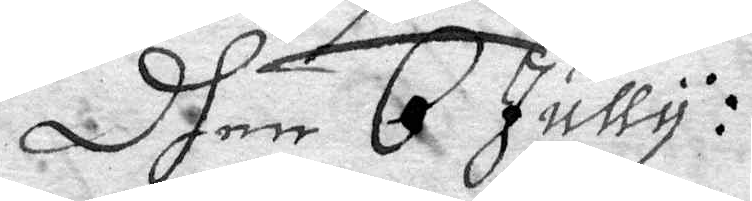Dhen 6 Jully:
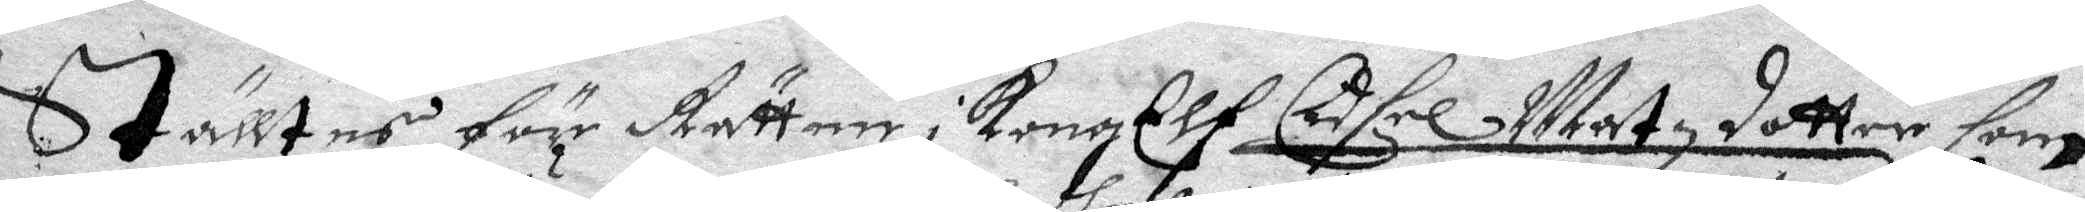Ställtes för Rätten i KongElf Cidsel Matzdotter som
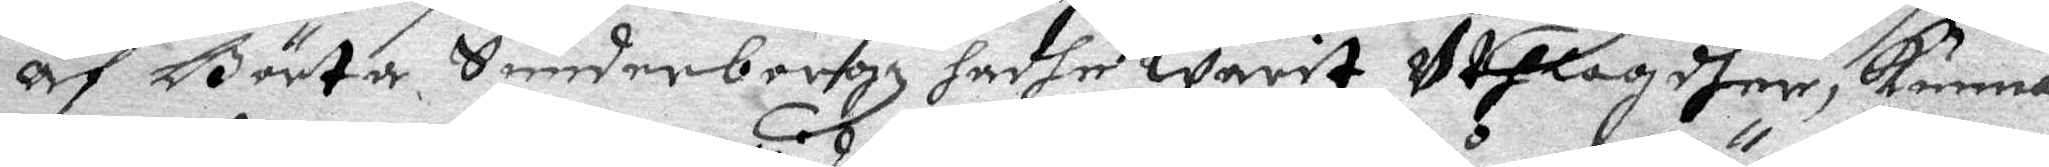Af Börta Suederbergh hadhe warit Uthlagdher, kunna
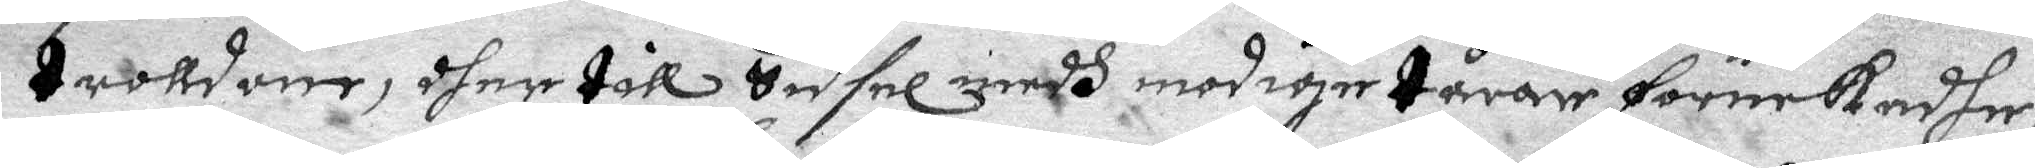trolldom, dher till Sidsel medh modige tårar förnekadhe,
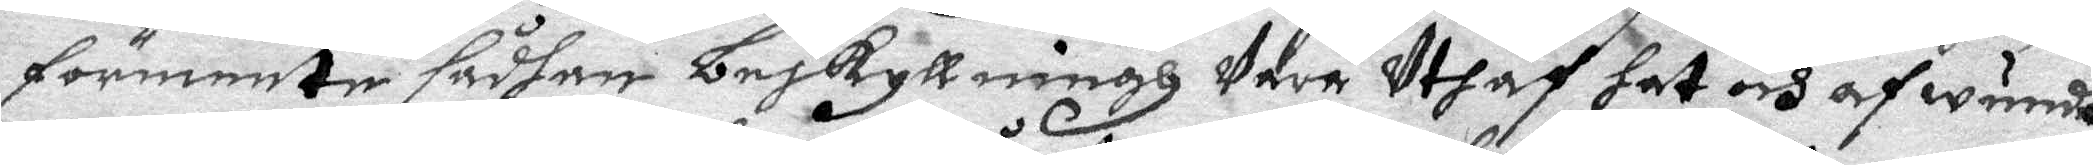förmente sådhan beskyllningh Vara Utaf hat och afwundh,
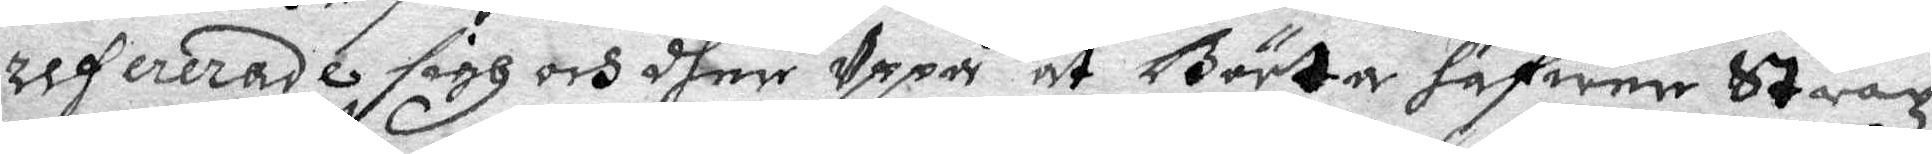refererade sigh och dher Uppå at Börta hafwer Strax
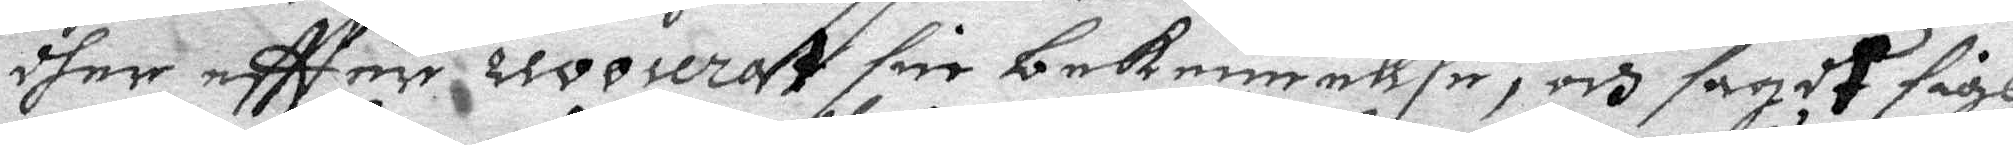dher eftter revoserat sin bekennellse, och sagdt sigh
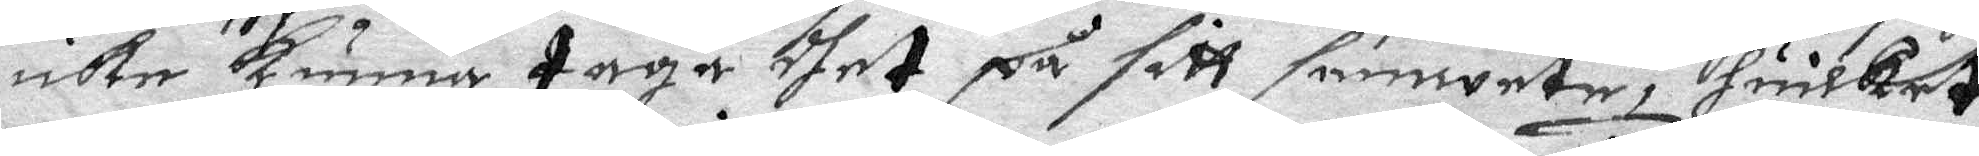icke kunna taga dhet på sitt samwete, huilket
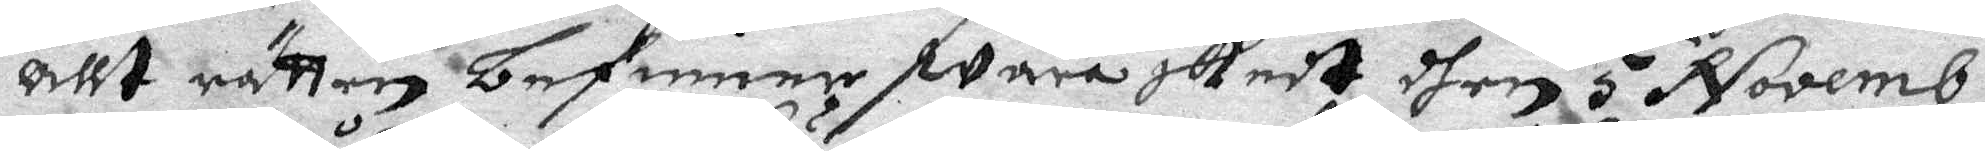allt rätten befinner wara skedt dhen 5 Novemb:
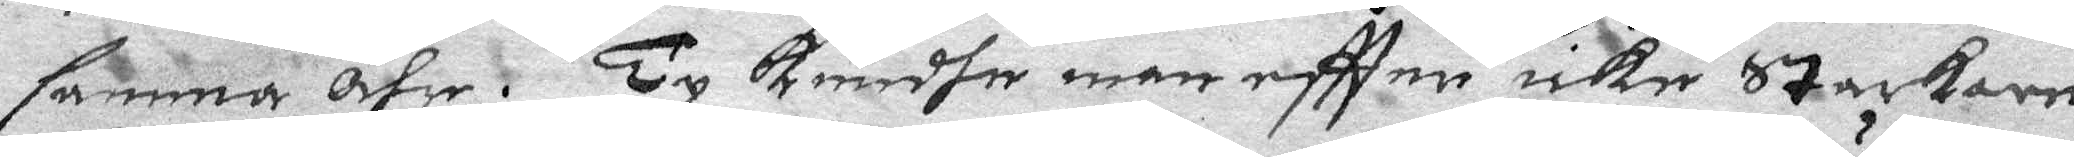samma åhr. Ty Kundhe man eftter icke Starkare
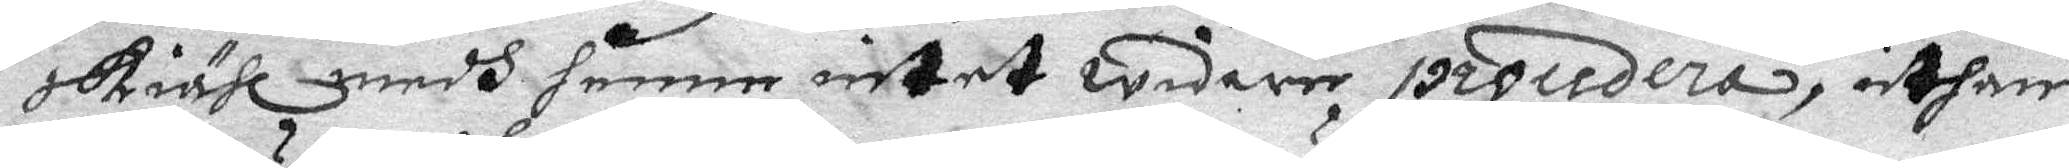skiähl medh henne intet widare procedera, uthan
